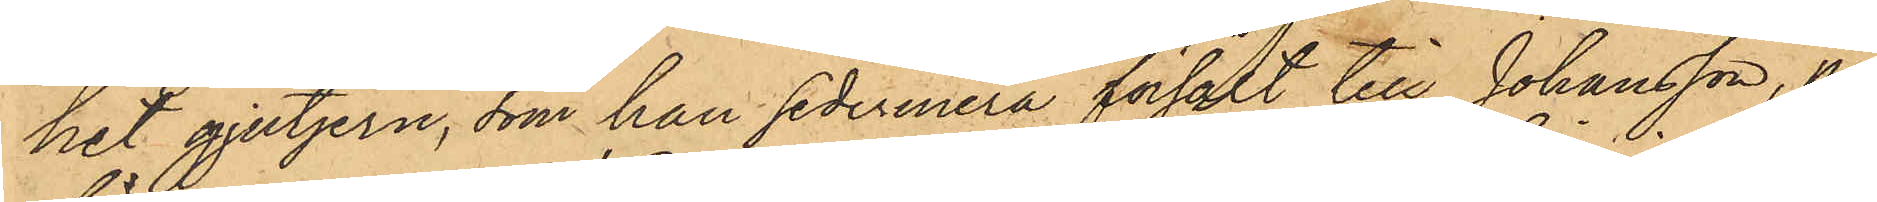het gjutjern, som han sedermera försålt till Johansson, på
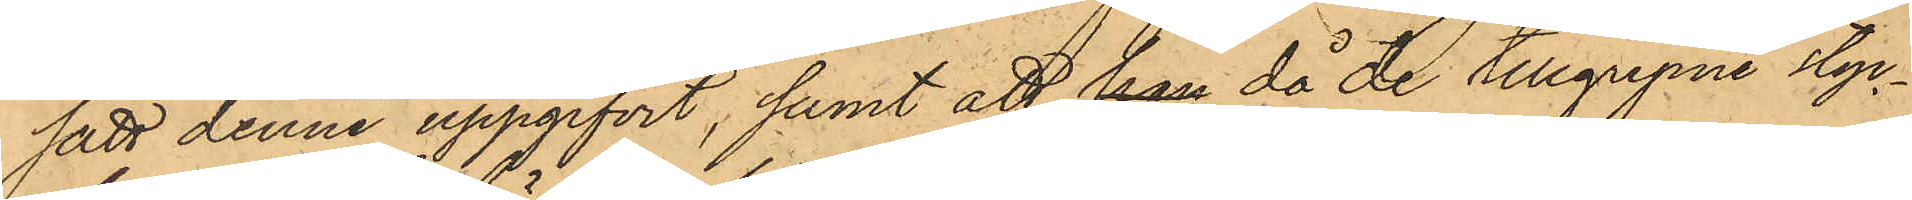sätt denne uppgifvit, samt att, han då de tillgripne styc¬
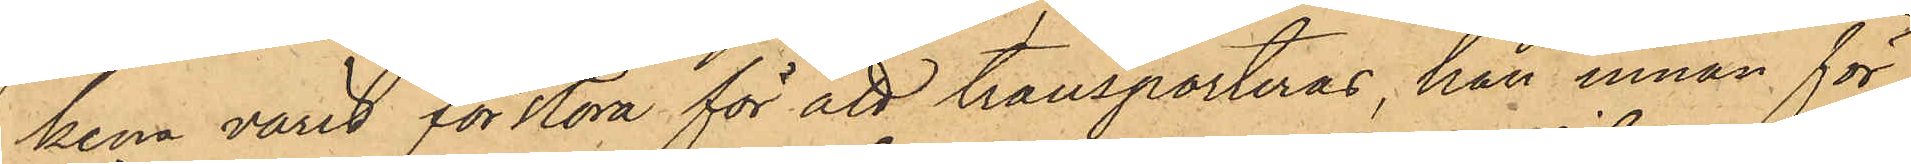kena varit för stora för att transporteras, han innan för¬
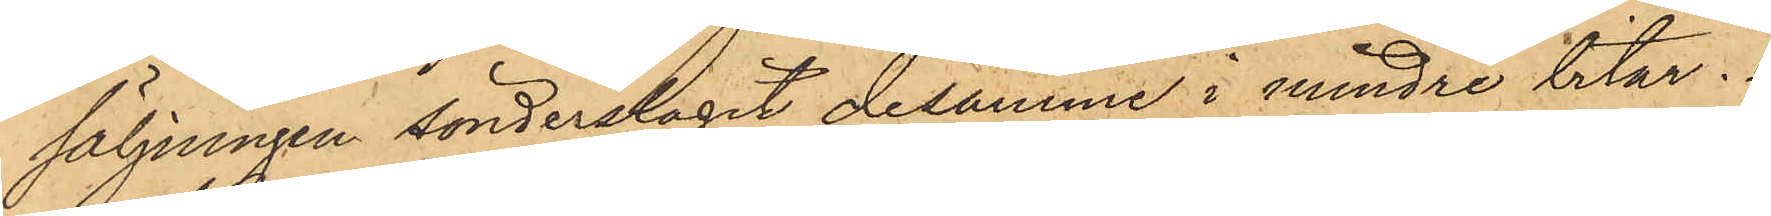säljningen sönderslagit desamma i mindre bitar.
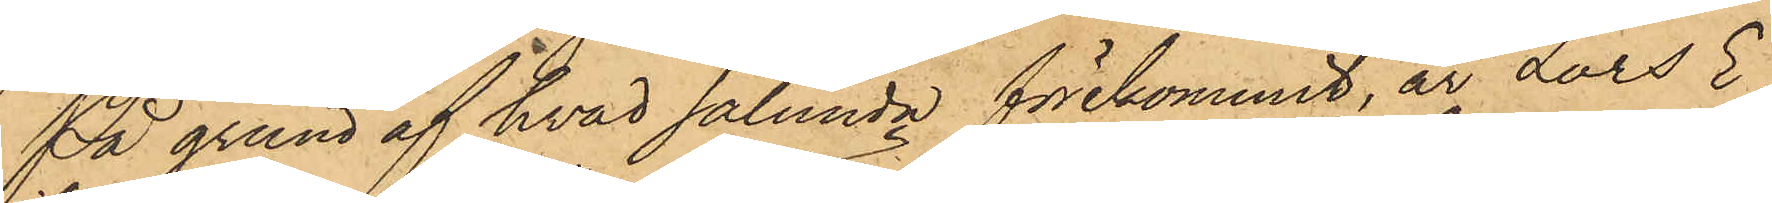På grund af hvad sålunda förekommit, är Lars E¬
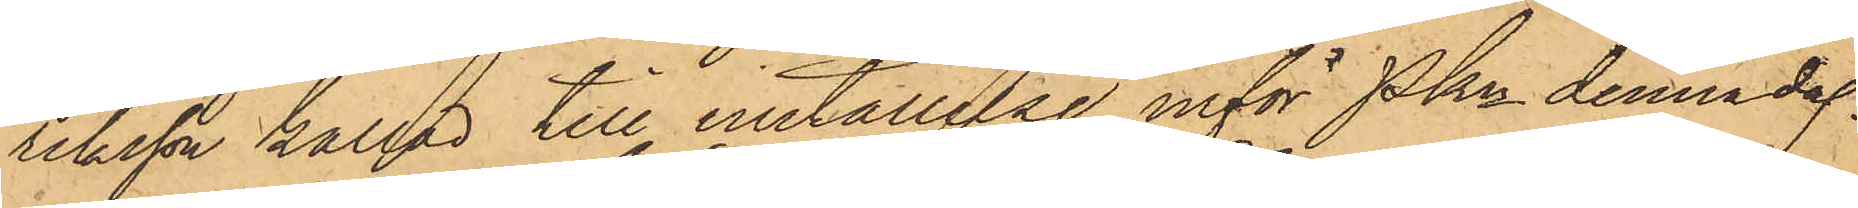riksson kallad till inställelse inför Pkn denna dag.
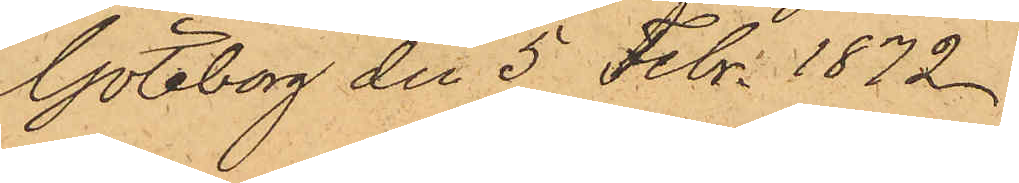Göteborg den 5 Febr. 1872
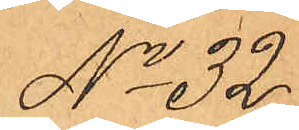No 32.
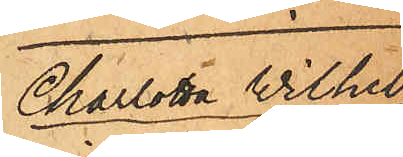Charlotta Wilhel¬
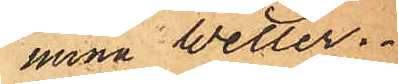mina Wetter.
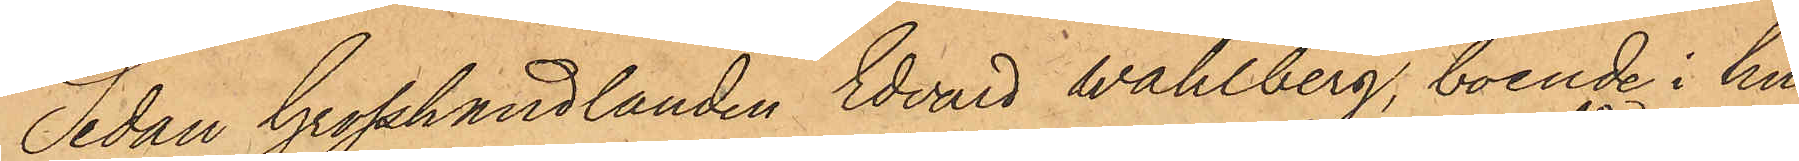Sedan Grosshandlanden Edvard Wahlberg, boende i hu¬
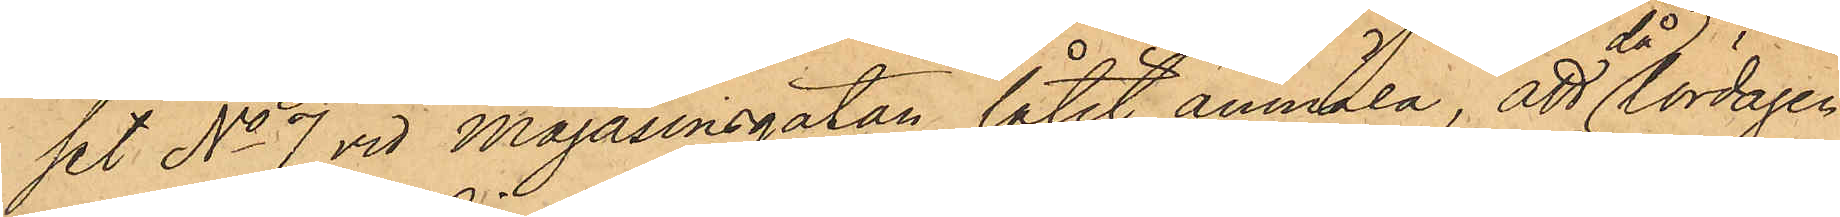set No 7 vid Magasinsgatan låtit anmäla, att då Lördagen
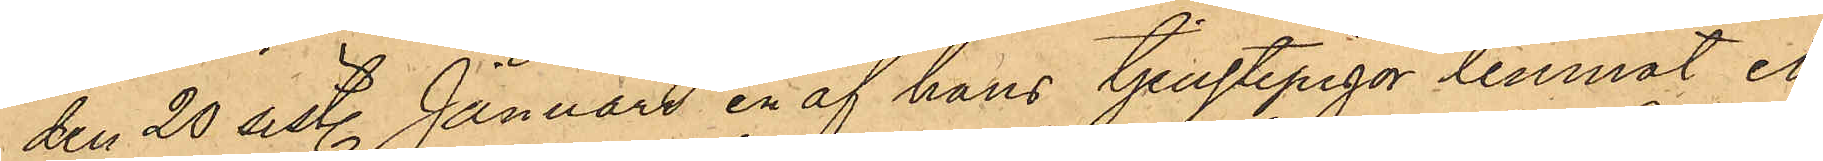den 20 sistl. Januari en af hans tjenstepigor lemnat ett
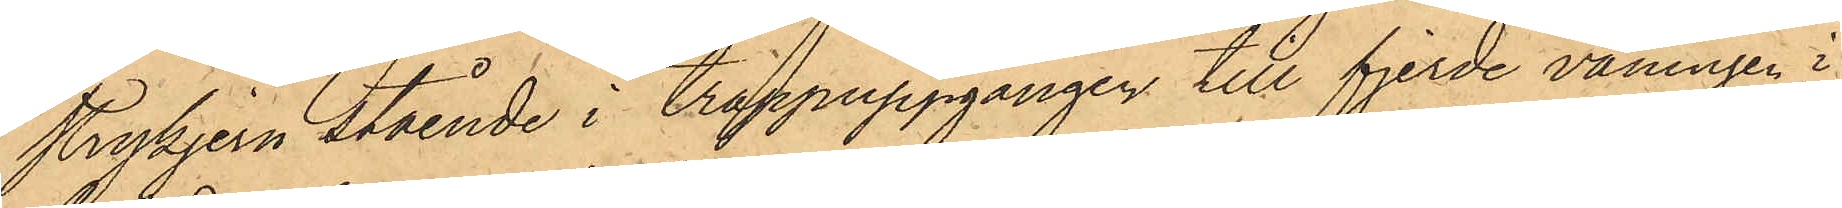strykjern stående i trappuppgången till fjerde våningen i
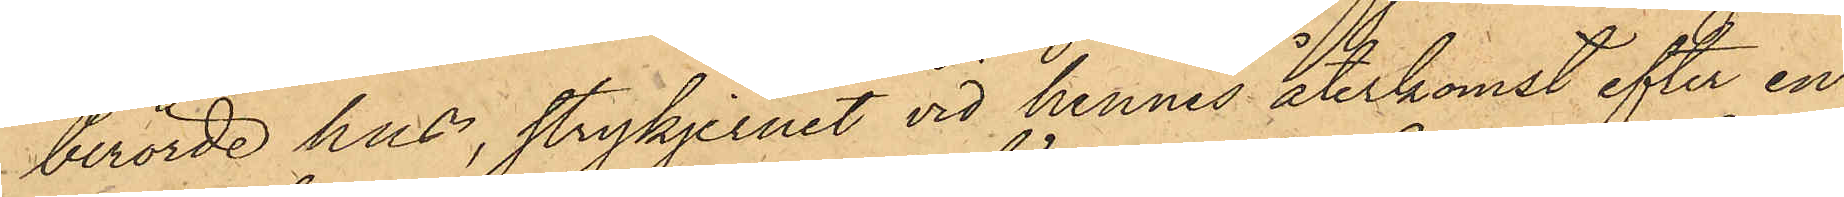berörde hus, strykjernet vid hennes återkomst efter en
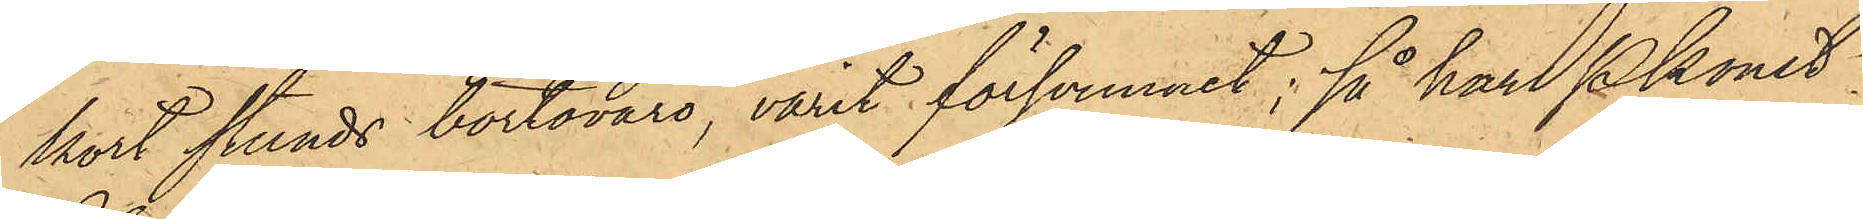kort stunds bortsvaro, varit försvunnet; så har Pkonst.
